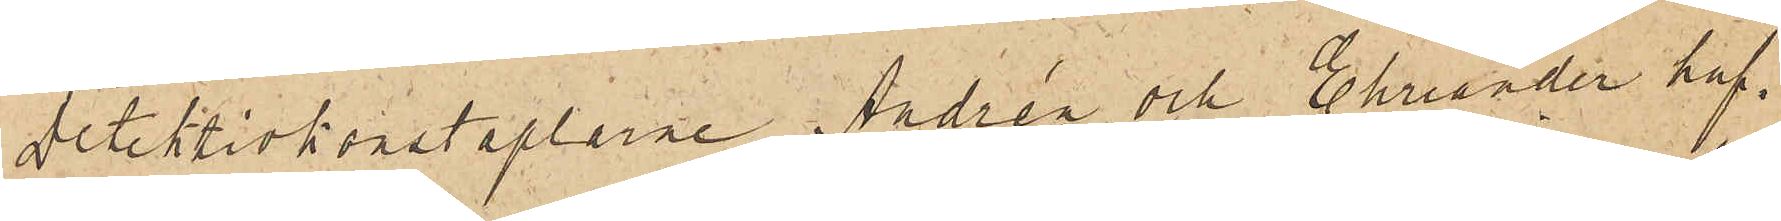Detektivkonstaplarne Andrén och Ehriander haf¬
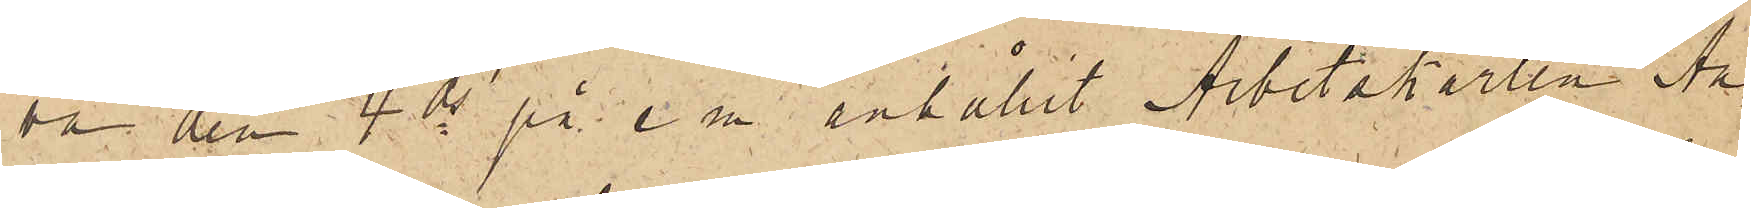va den 4 ds på e. m. anhållit Arbetskarlen An¬
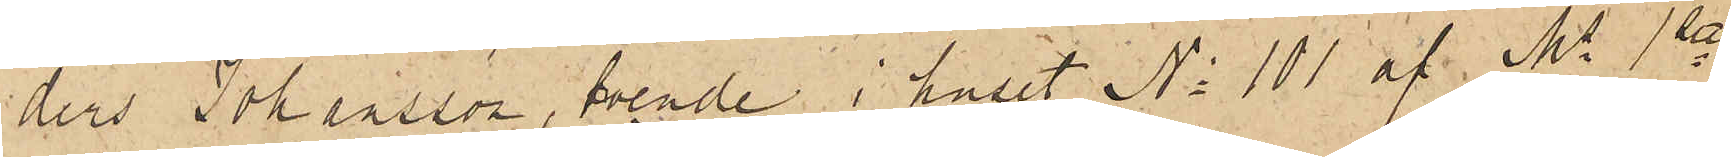ders Johansson, boende i huset No 101 af Ms 1ta
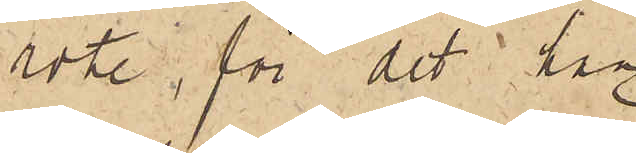rote, för det han
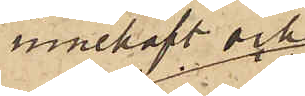innehaft och
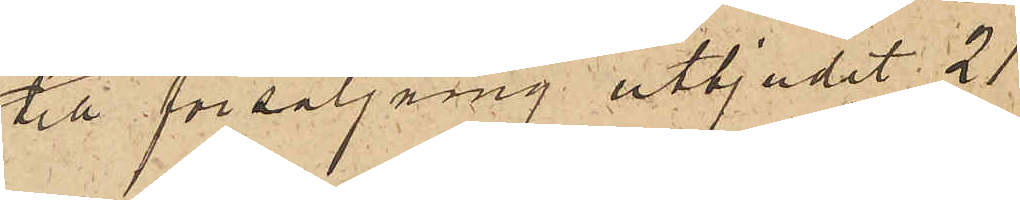till försäljning utbjudit 21
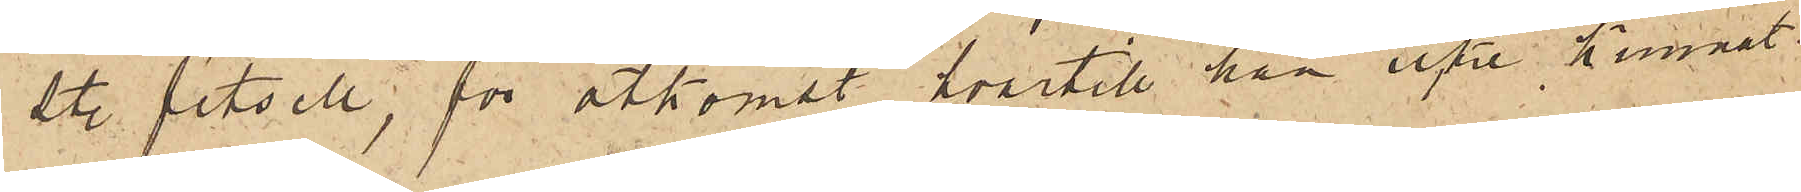℔ fetsill, för åtkomst hvartill han icke kunnat
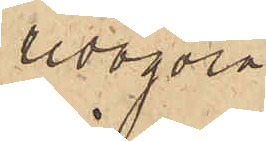redogöra.
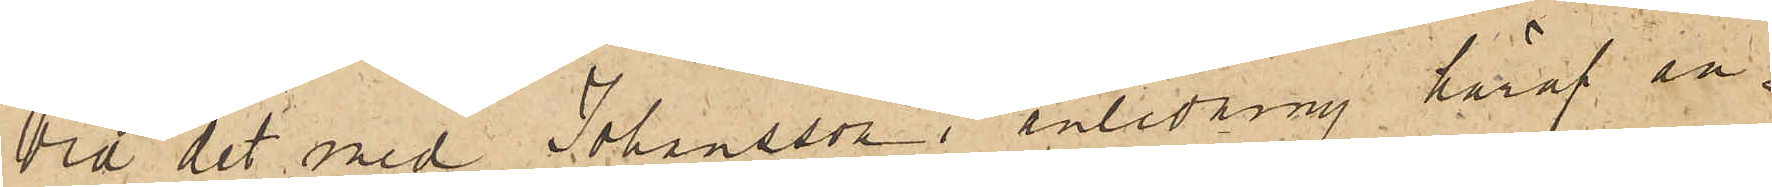Vid det med Johansson i anledning häraf an¬
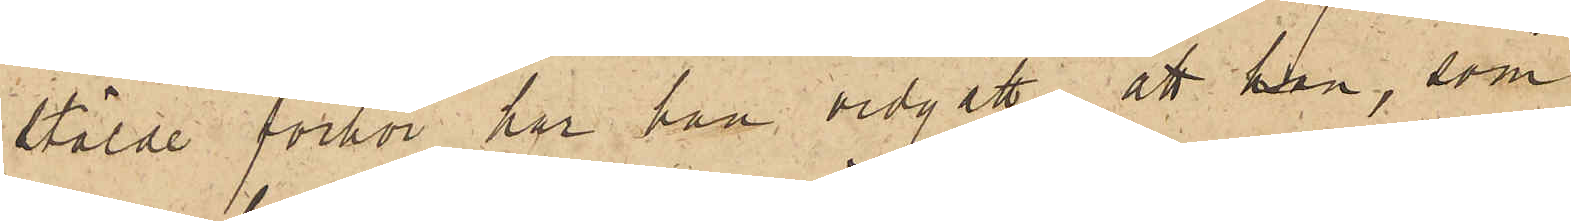stälde förhör har han vidgått, att han, som
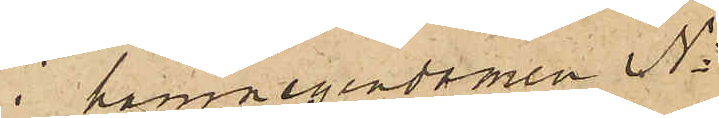i hamnegendomen No
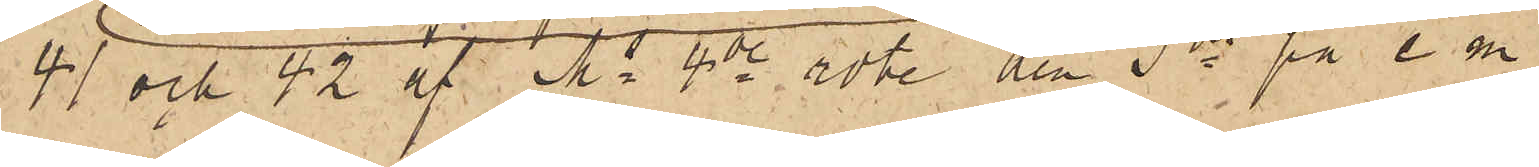41 och 42 af Ms 4de rote den 3ds på e. m.
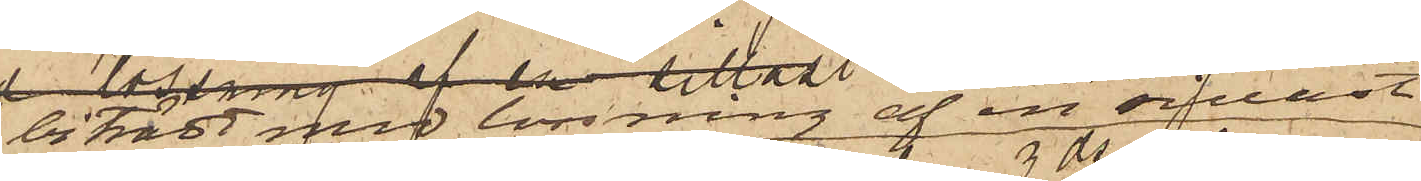biträtt med lossning af en sillast
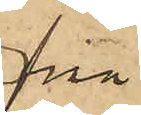från
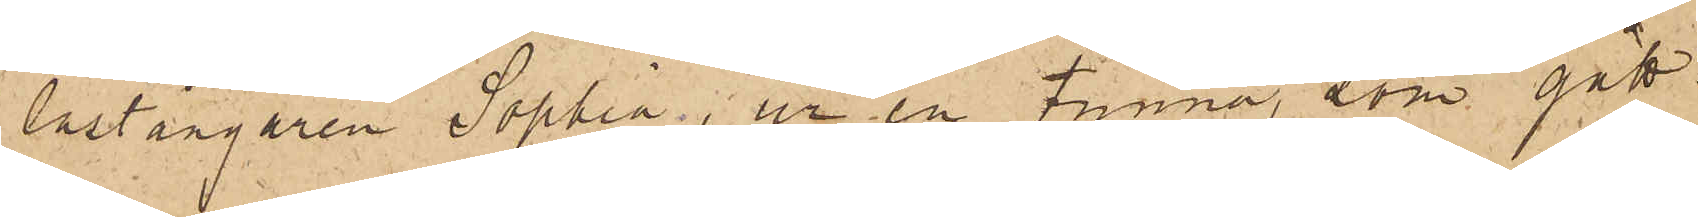lastångaren Sophia, ur en tunna, som gått
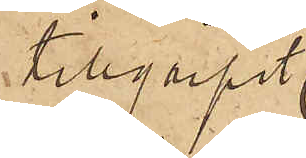tillgripit
